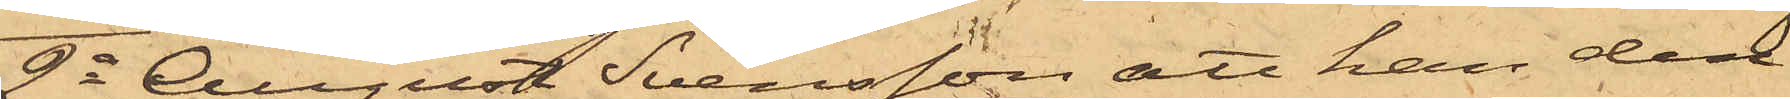2o August Svensson att han den
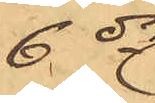6 ds
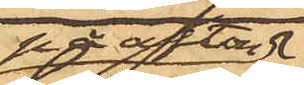på afton
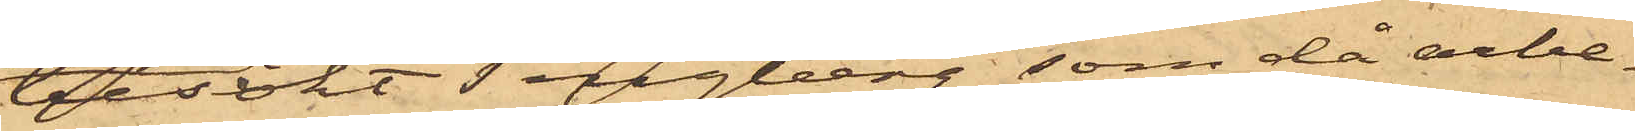besökt Tengberg, som då arbe¬
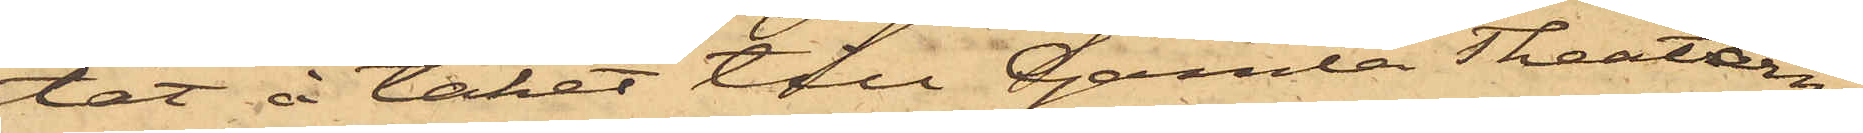tat å taket till Gamla Theatern;
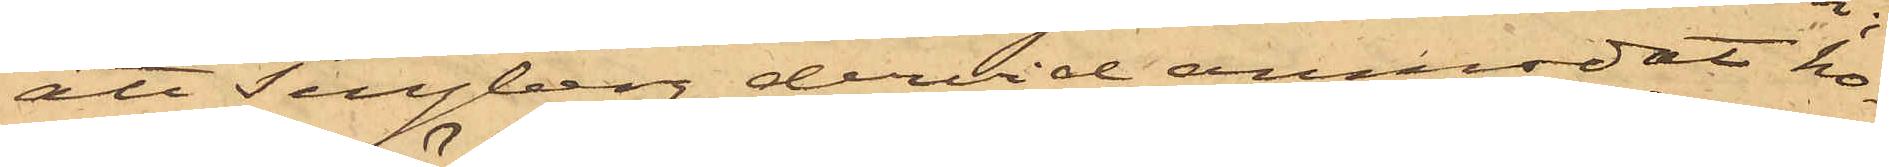att Tengberg dervid anmodat ho¬
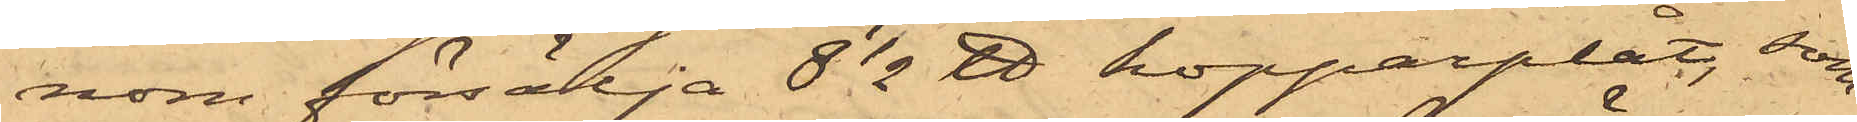nom försälja 8 1/2 ℔ kopparplåt, som
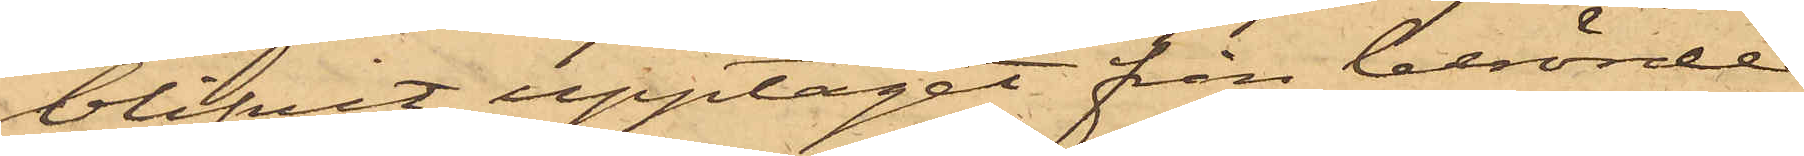blifvit upptaget från berörde
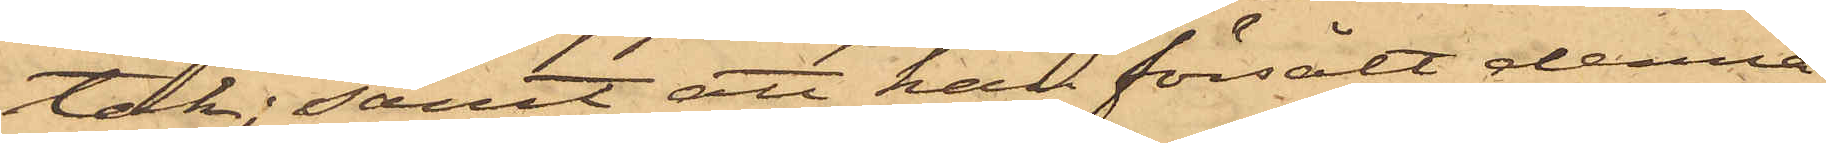tak; samt att han försålt denna
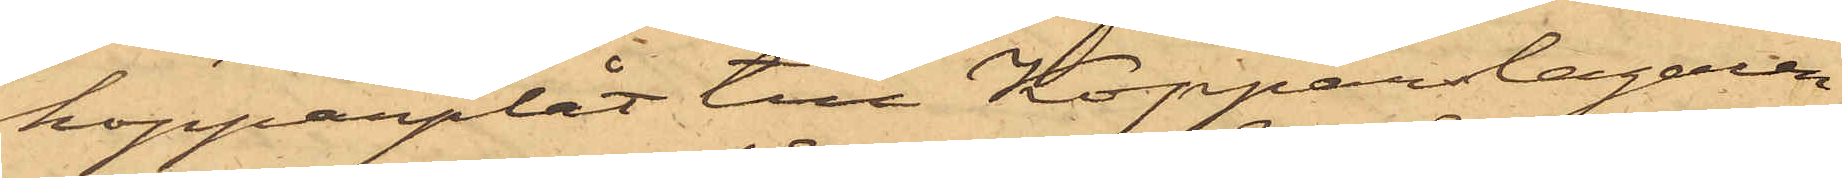kopparplåt till Kopparslagaren
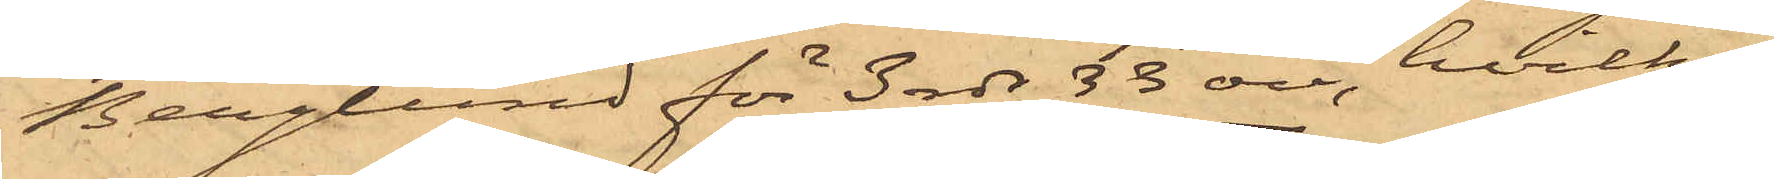Berglund för 3 rdr 33 öre, hvilka
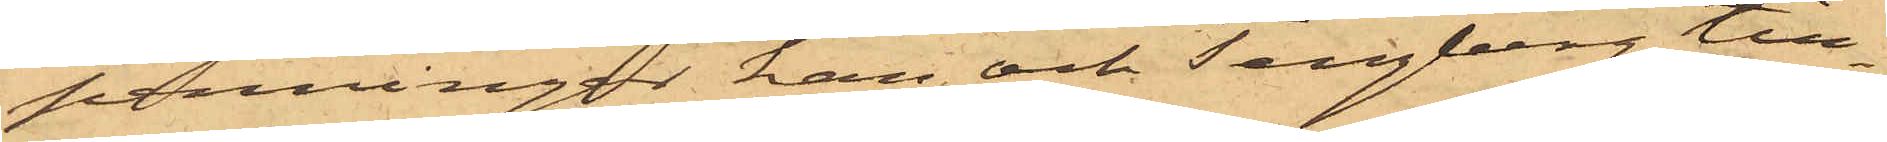penningar han och Tengberg till¬
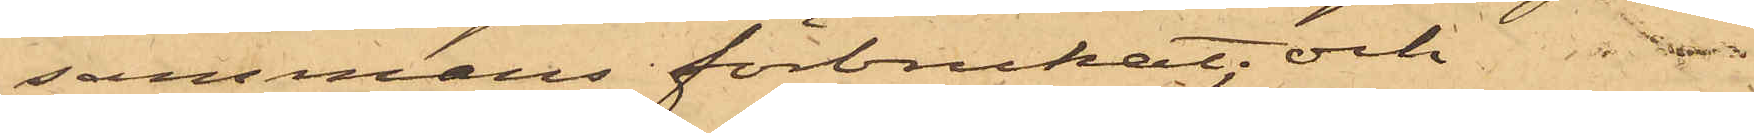sammans förbrukat; och
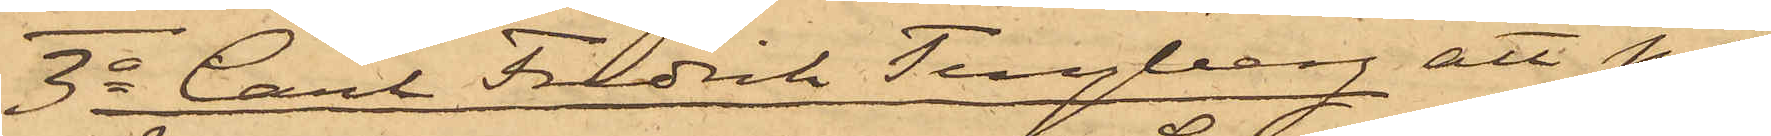3o Carl Fredrik Tengberg att på
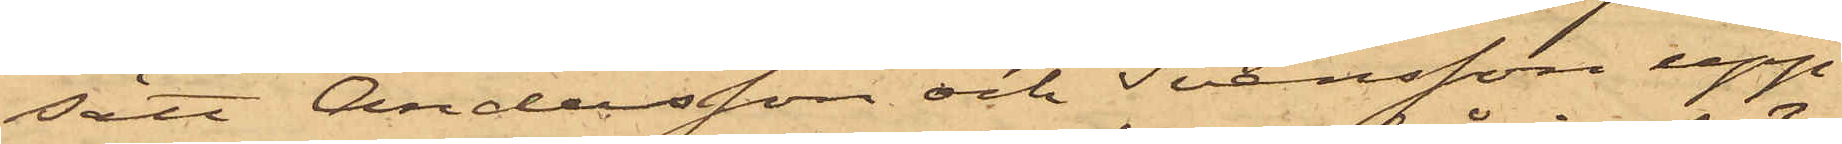sätt Andersson och Svensson upp¬
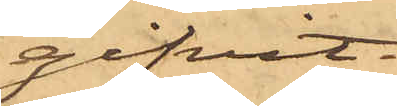gifvit
